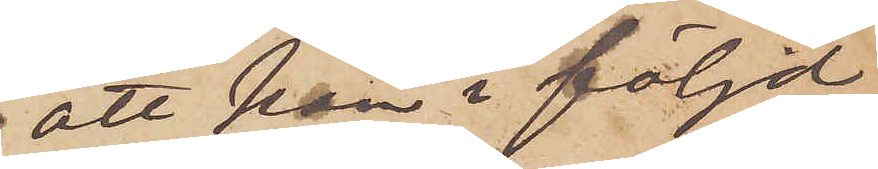att han i följd
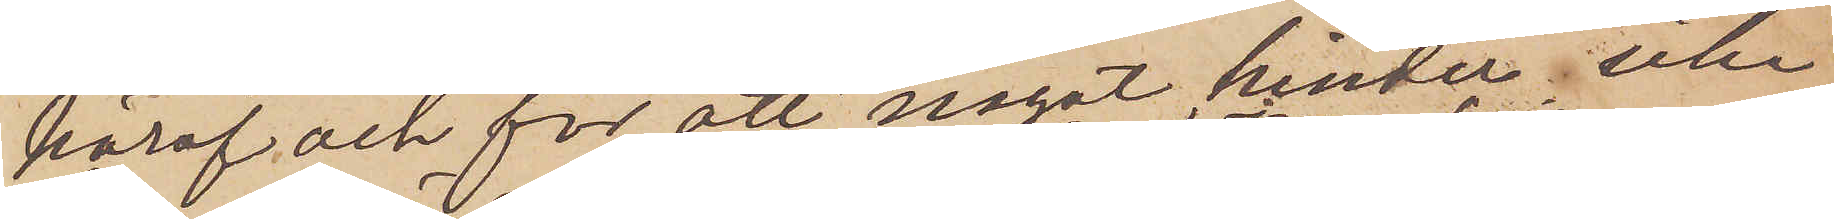häraf och för att något hinder icke
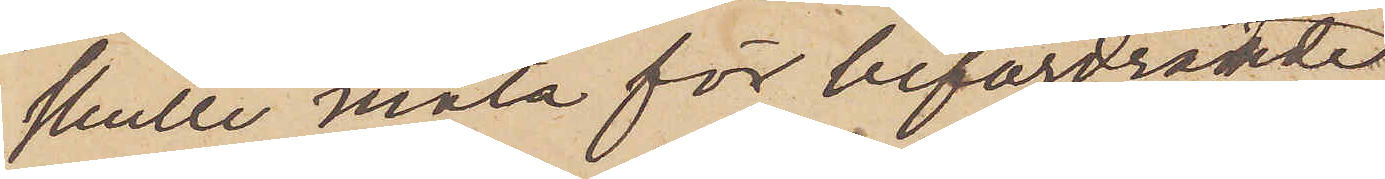skulle mata för befordrande
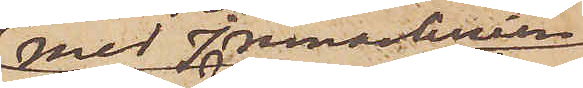med inmanlinien
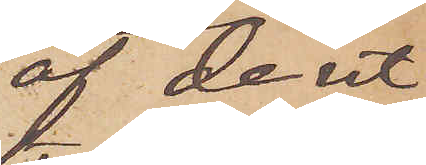af de ut¬
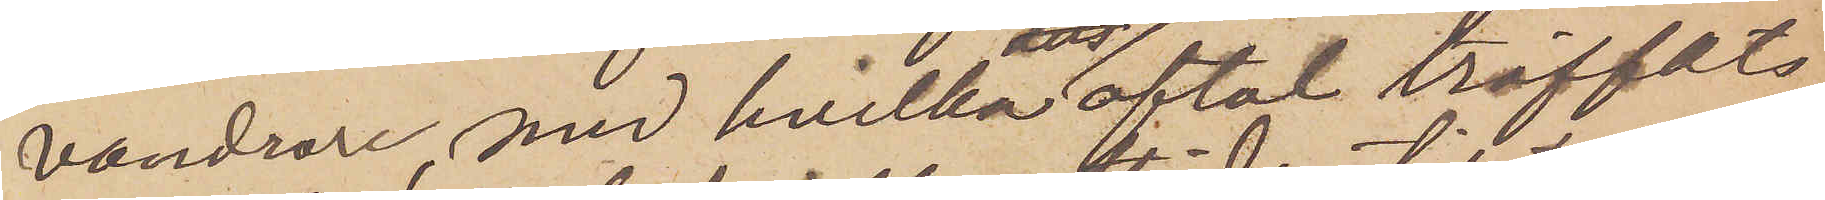vandrare, med hvilka aftal träffats
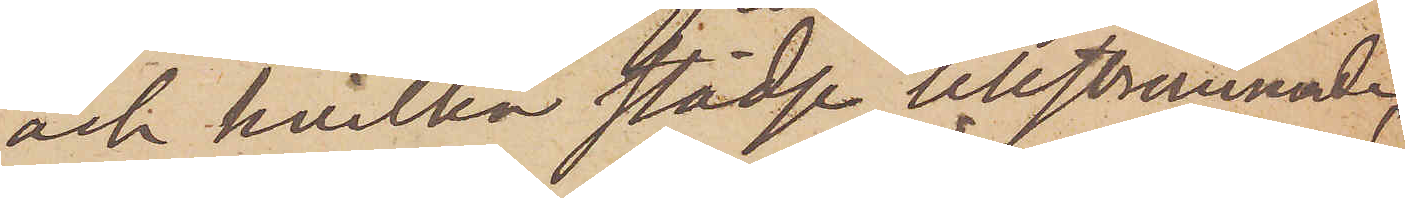och hvilka städse tillstrännade
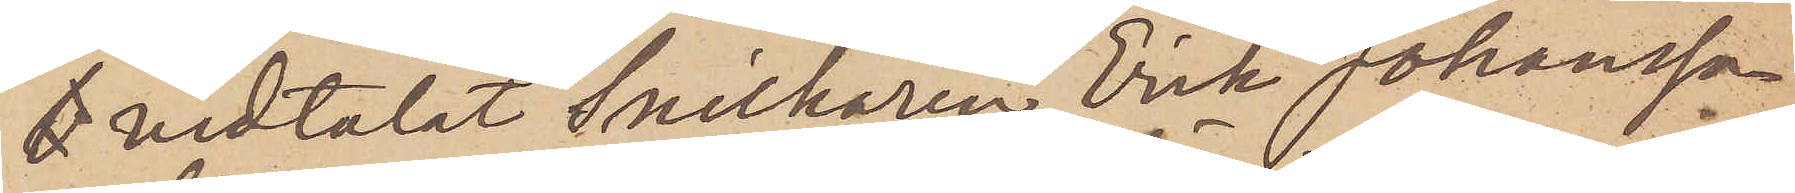t vidtalat Snickaren Erik Johansson
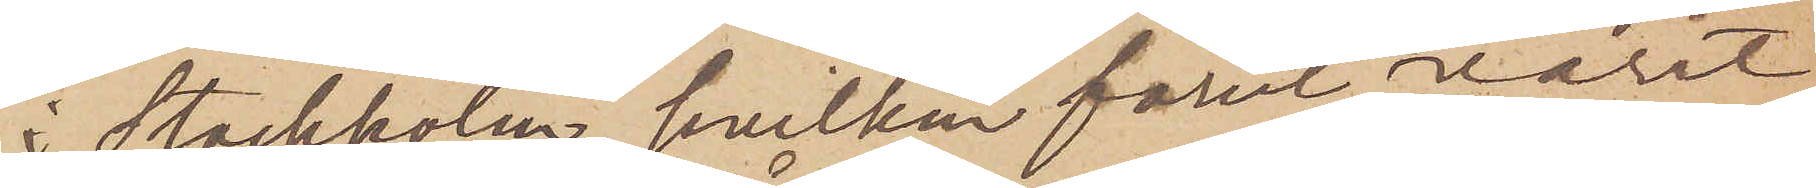i Stockholm, hvilken förut varit
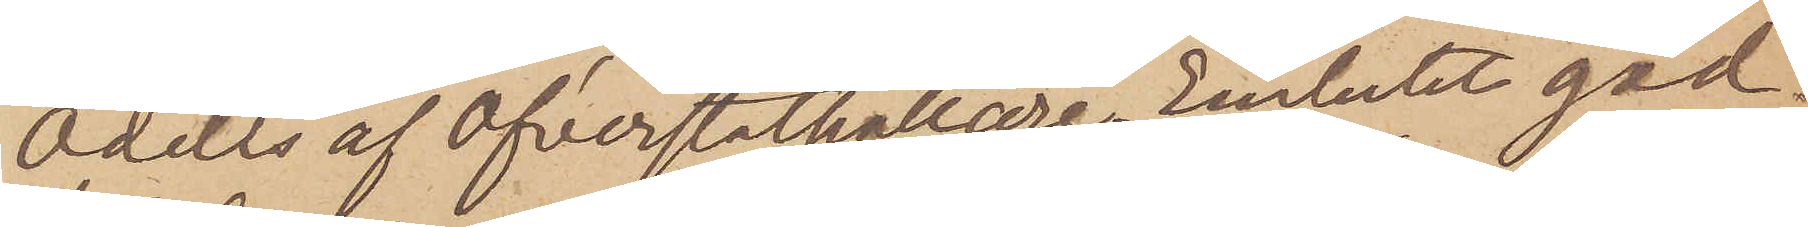Odells af Öfverståthållare Embetet god¬
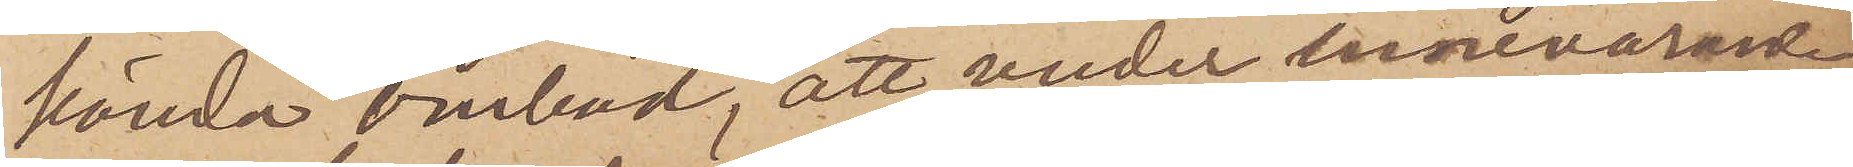kända ombud, att under innevarande
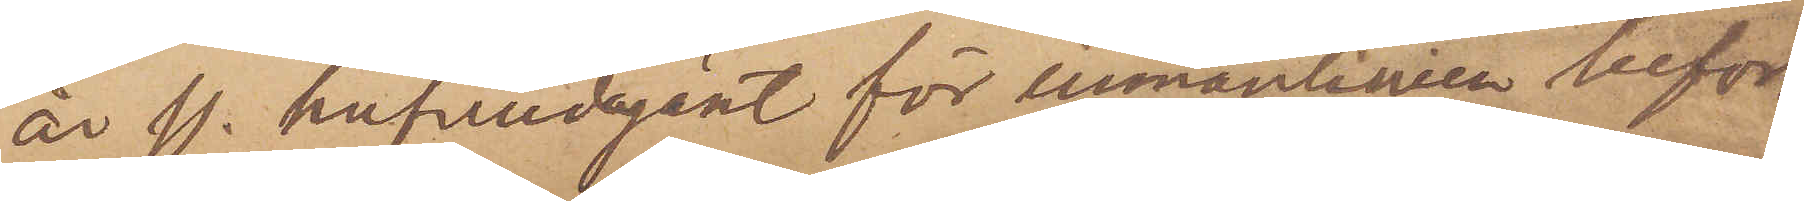år ss. hufvudagent för inmanlinien befor¬
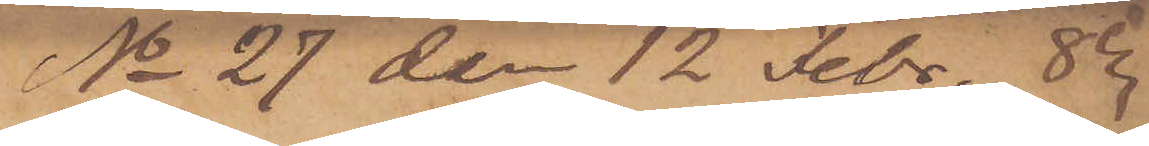No 27 den 12 Febr. 8
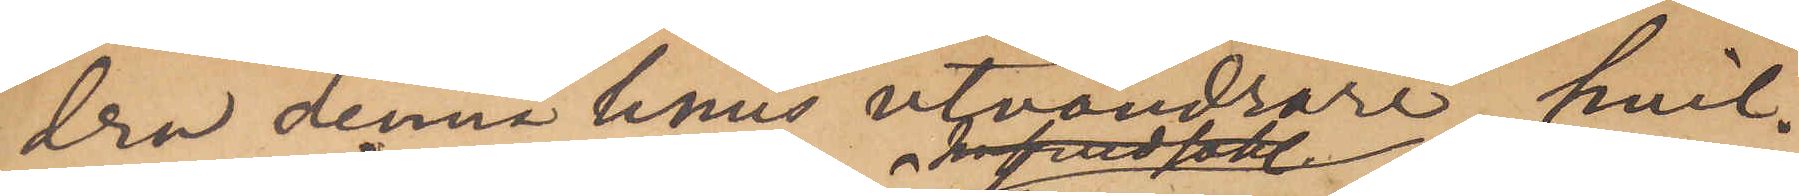dra denna linies utvandrare, hvil¬
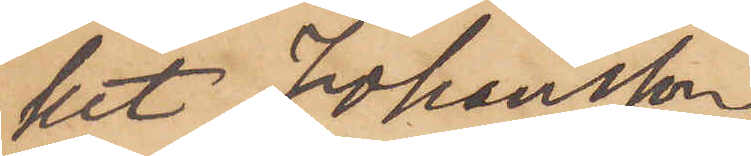het Johansson
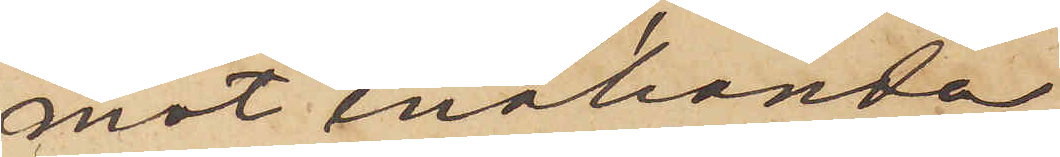mot enahanda
